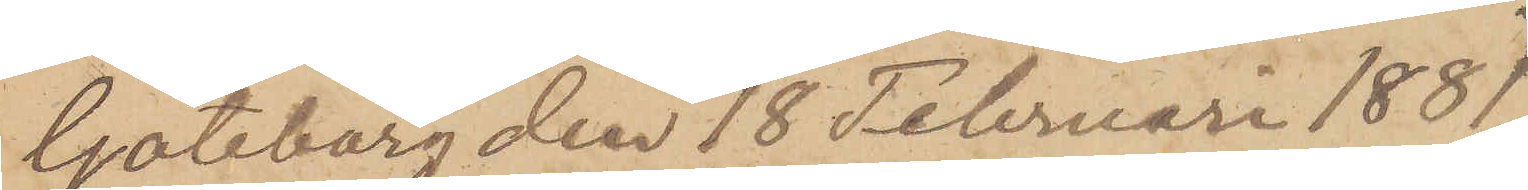Göteborg den 18 Februari 1881.
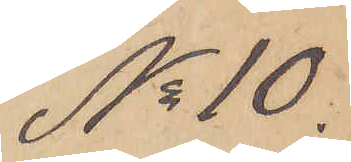No 10.
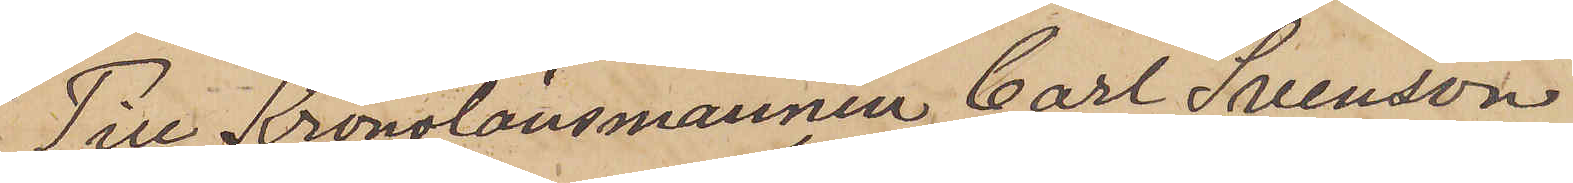Till Kronolänsmannen Carl Svenson.
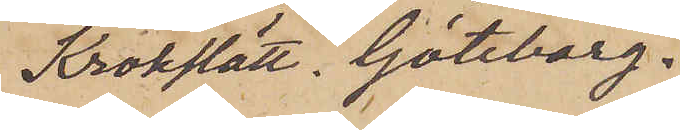Krokslätt. Göteborg.
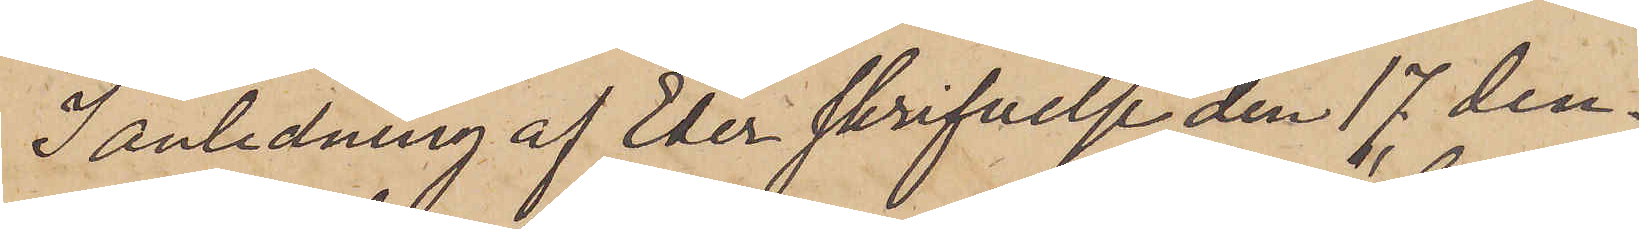I anledning af Eder skrifvelse den 17 den¬
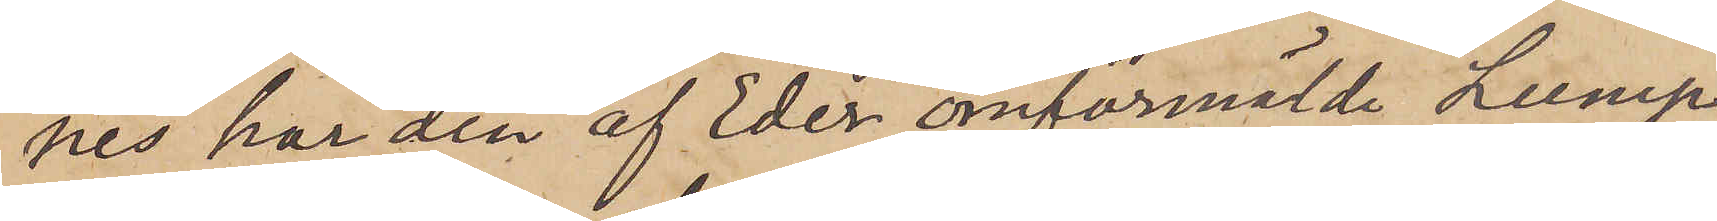nes har den af Eder omförmälde "Lump¬
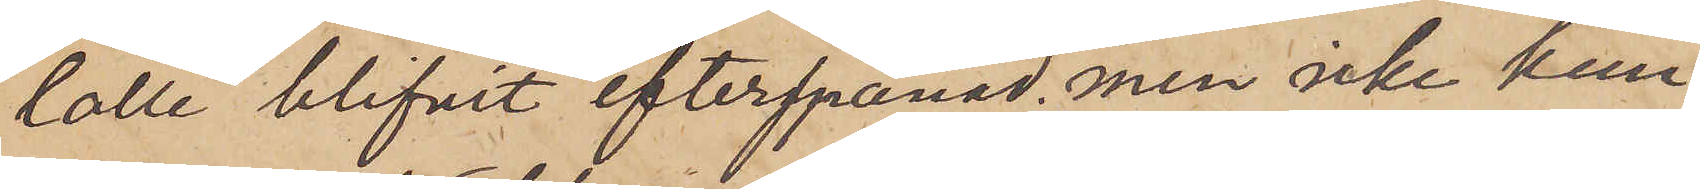lolle" blifvit efterspanad, men icke kun¬
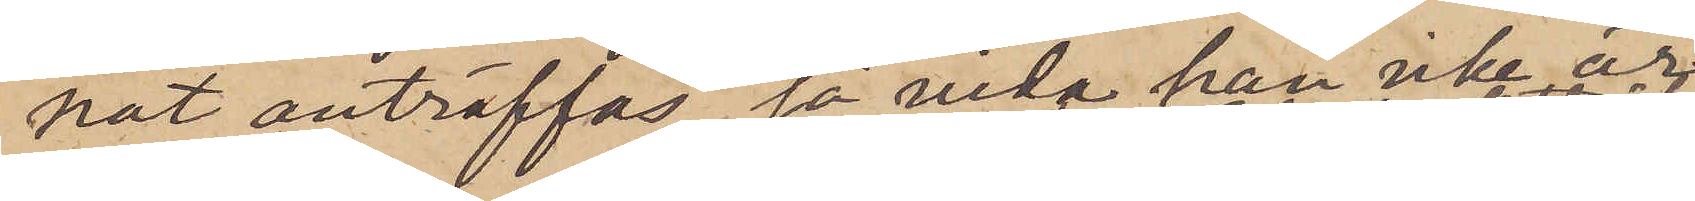nat anträffas, så vida han icke är
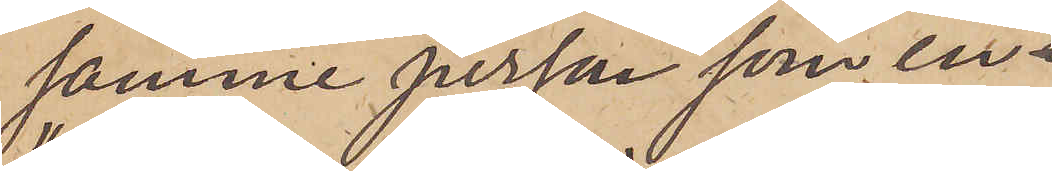samme person som en
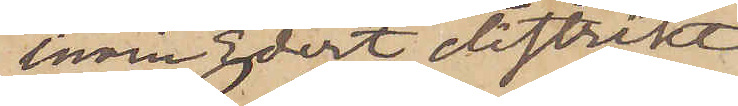inom Edert distrikt
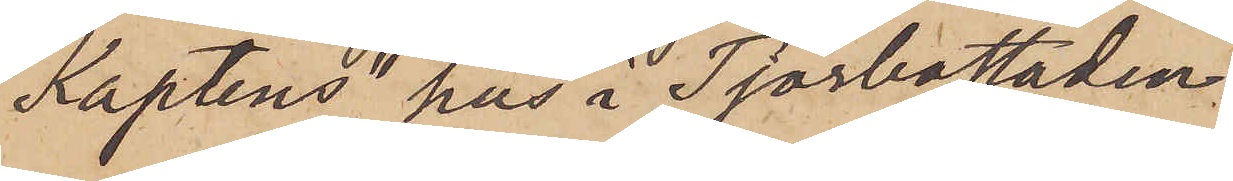"Kaptens" hus i Tjörbostaden
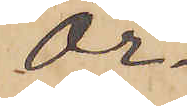Ör¬
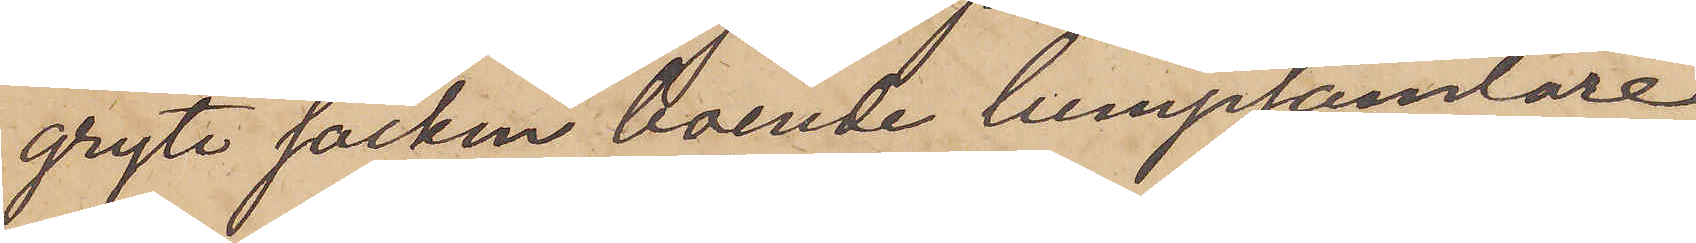gryte socken boende lumpsamlare
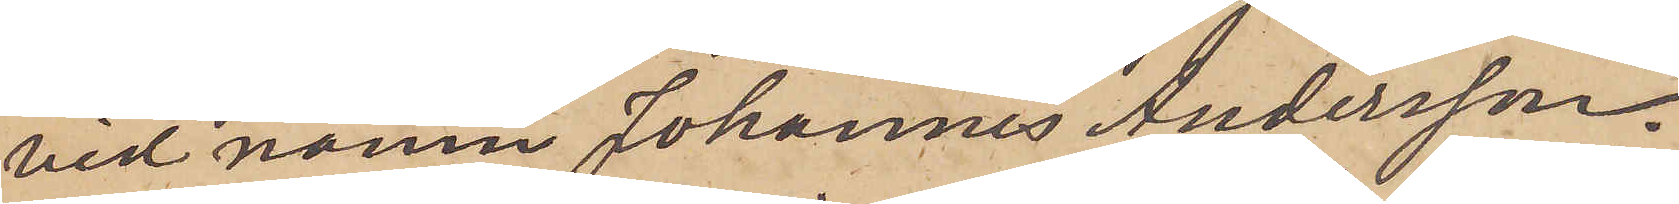vid namn Johannes Andersson.
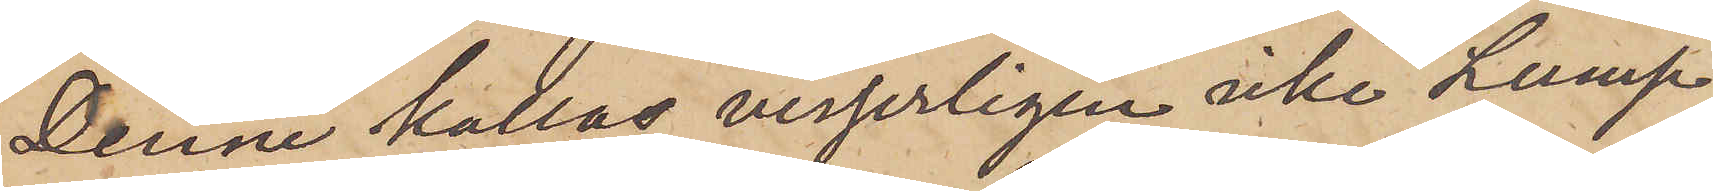Denne kallas visserligen icke "Lump¬
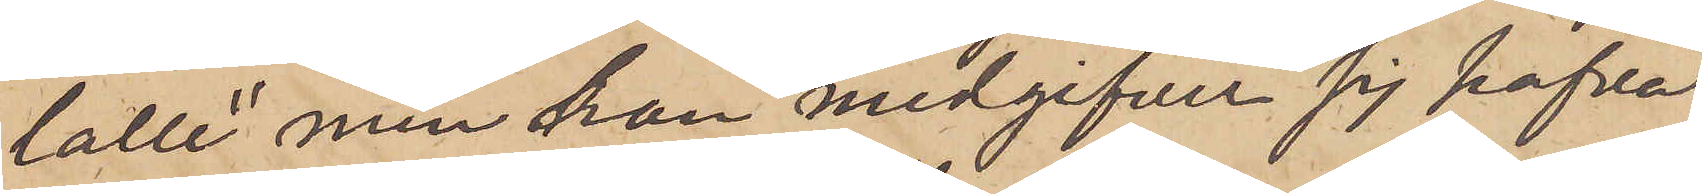lolle" men han medgifver sig hafva
